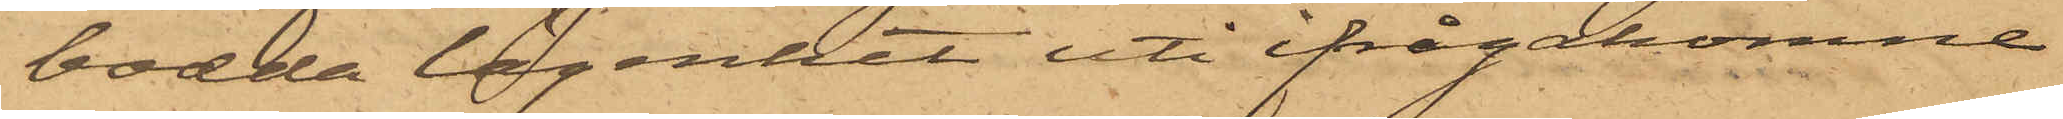bodda lägenhet uti ifrågakomne
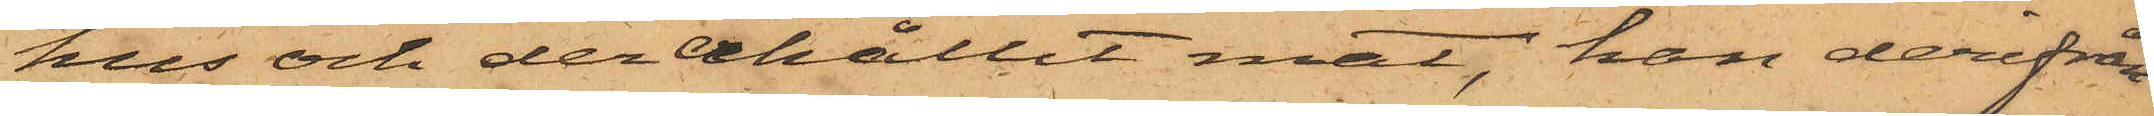hus och der erhållit mat, han derifrån
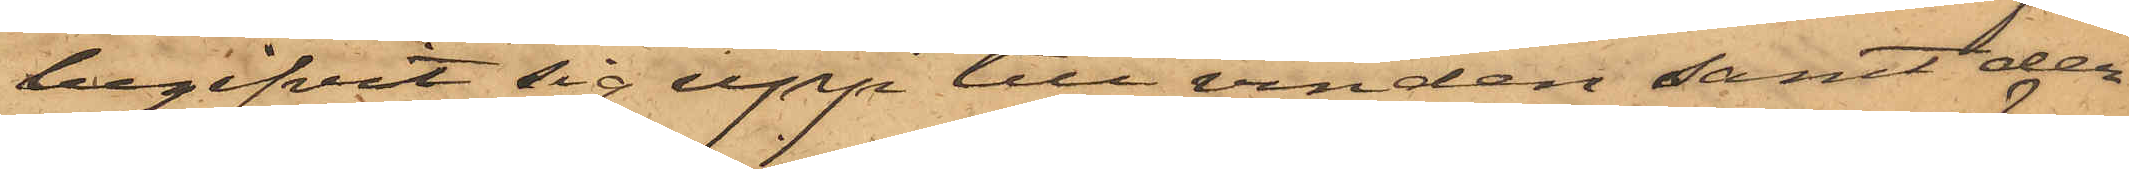begifvit sig upp till vinden samt der
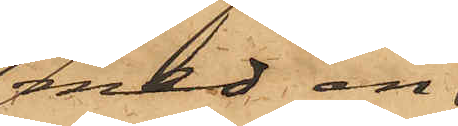med en
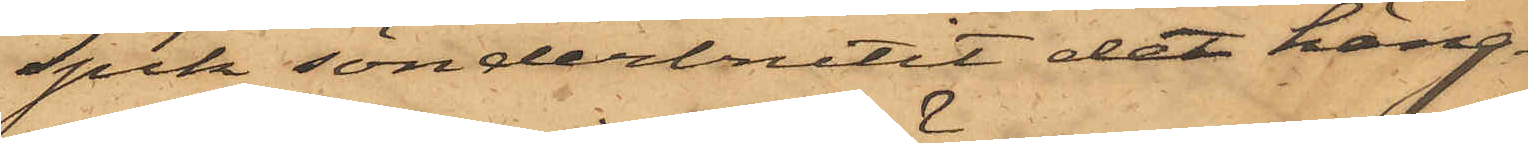spik sönderbrutit det häng¬
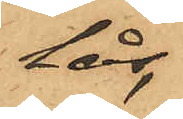lås,
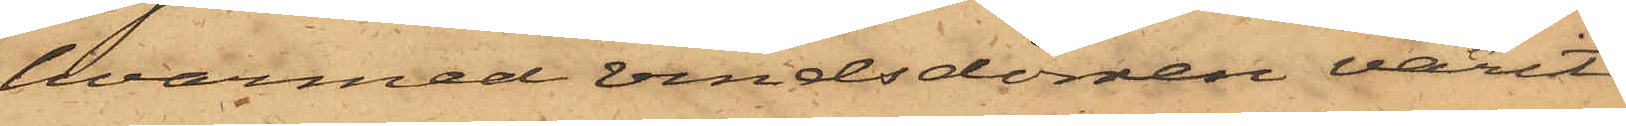hvarmed vindsdörren varit
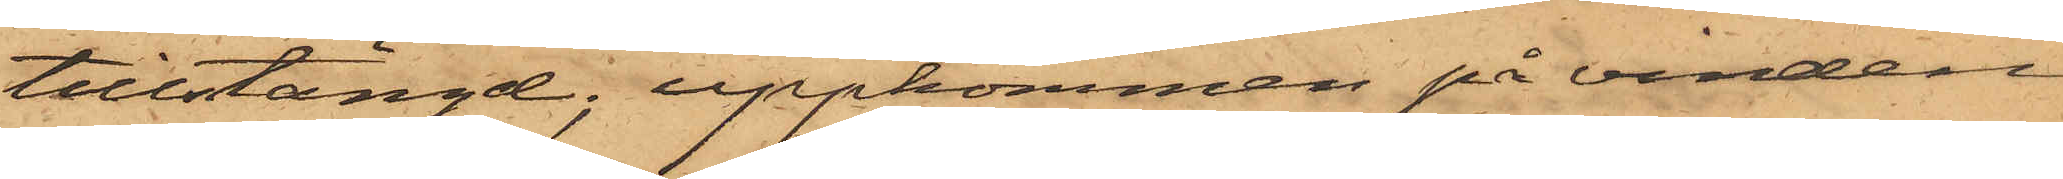tillstängd; uppkommen på vinden
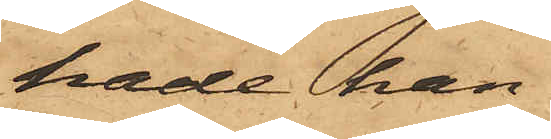hade han
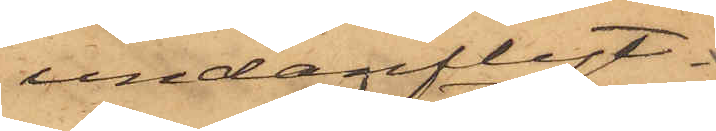undanflyt¬
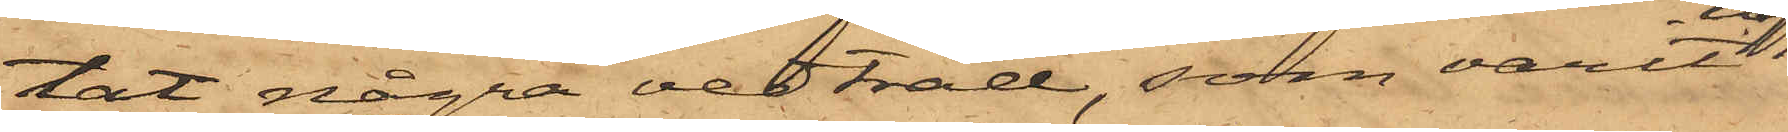tat några vedträd, som varit
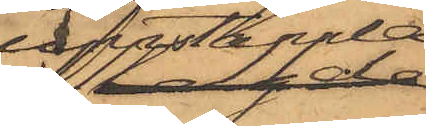uppstapla¬
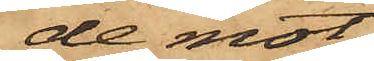de mot
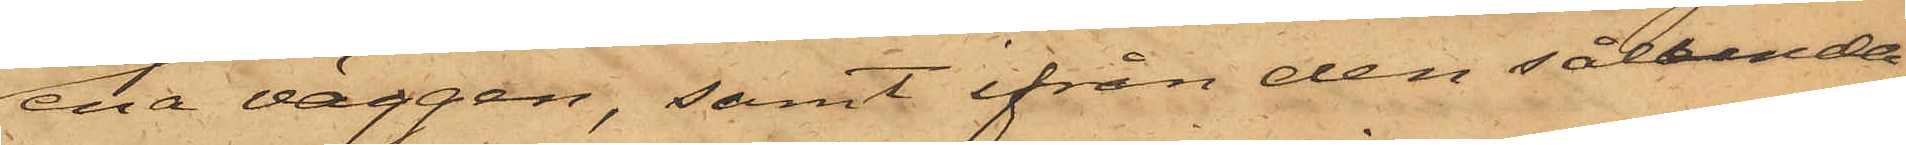ena väggen, samt ifrån den sålunda
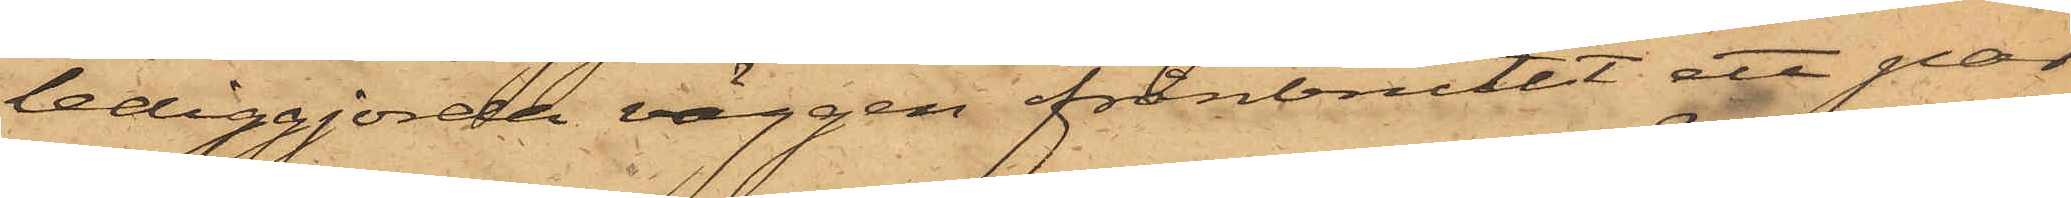lediggjorda väggen frånbrutit ett par
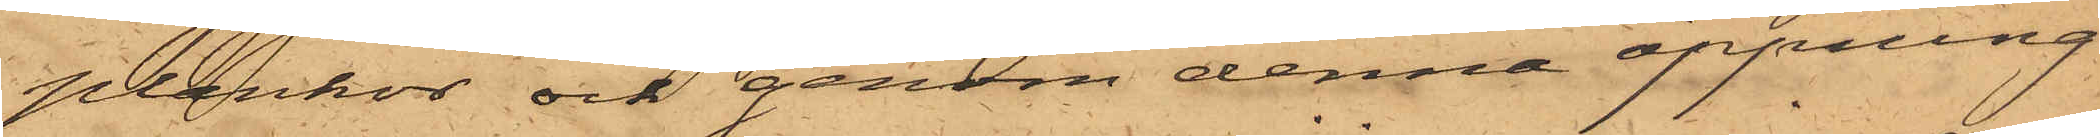plankor och genom denna öppning
